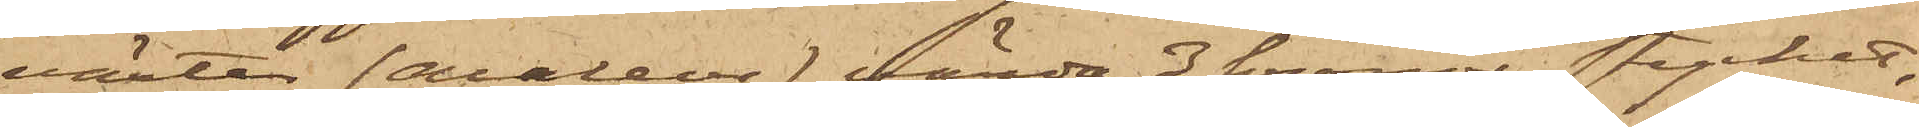växter (Asaleor) värda 3 kronor stycket,
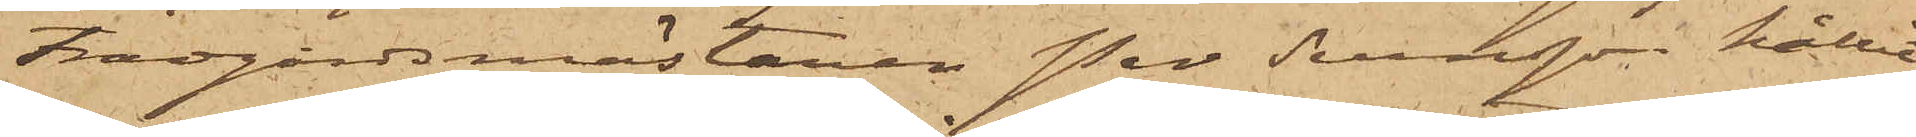Trädgårdsmästaren Per Svensson hållit
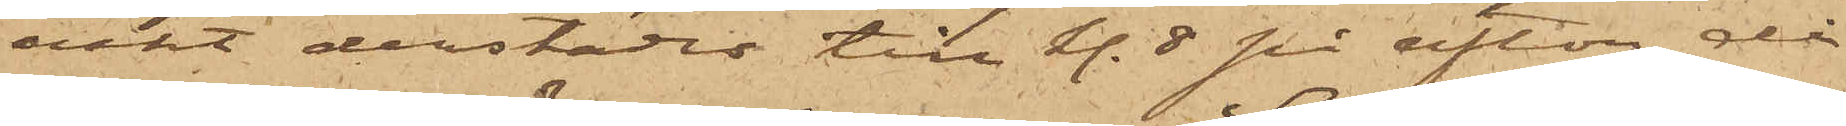vakt derstädes till kl. 8 på afton då
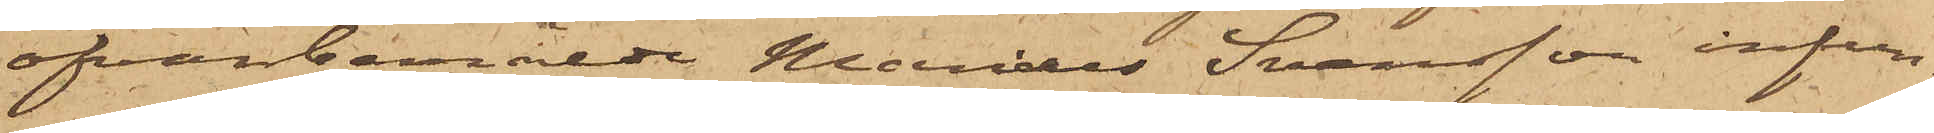ofvanbemälde Marias Svensson infun¬
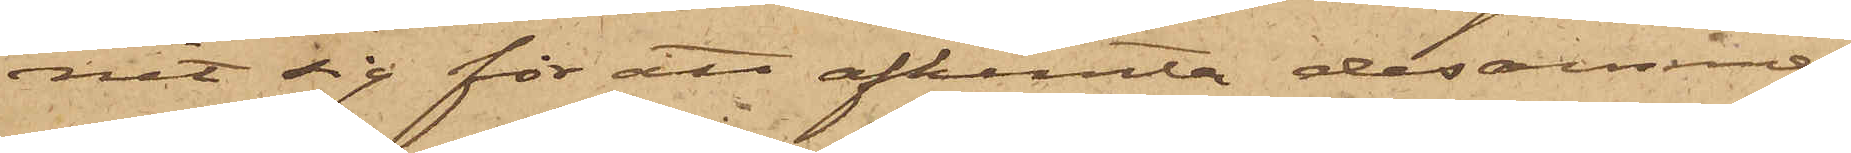nit sig för att afhemta desamma.
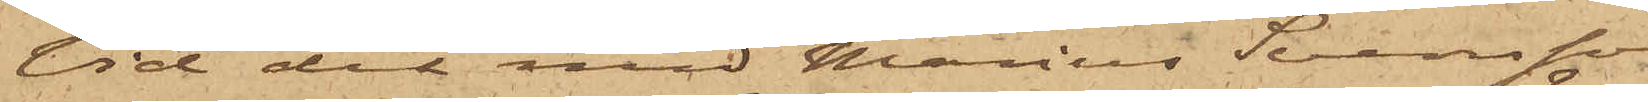Vid det med Marius Svensson
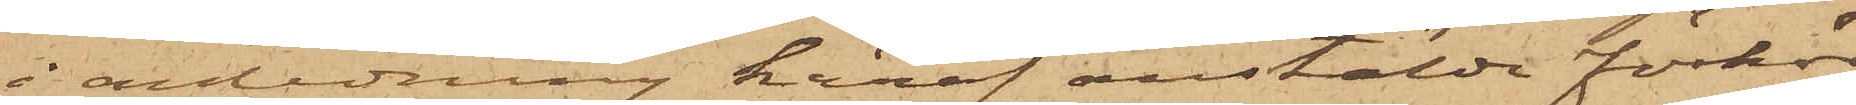i anledning häraf anstälde förhör
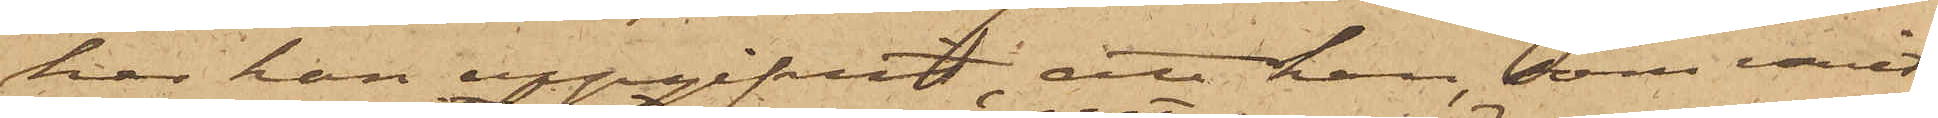har han uppgifvit, att han, som varit
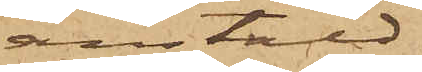anstäld
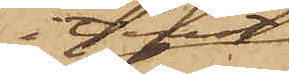i tjenst
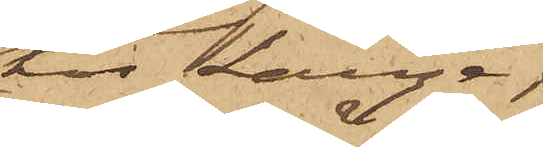hos Lange,
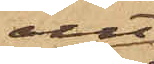allt¬
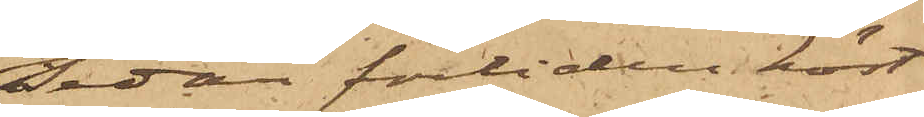sedan förliden höst
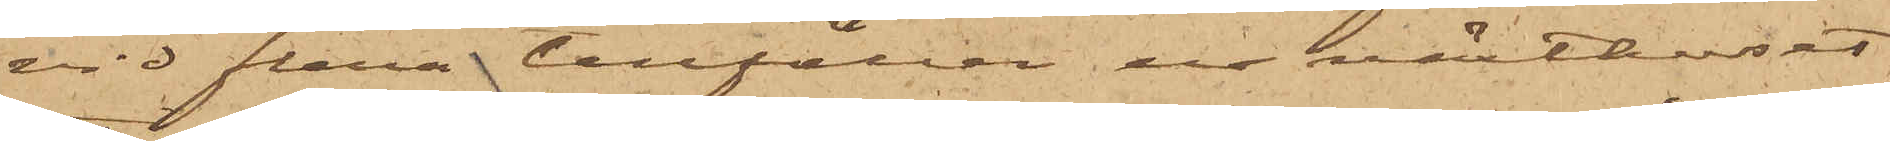vid flera tillfällen ur växthuset
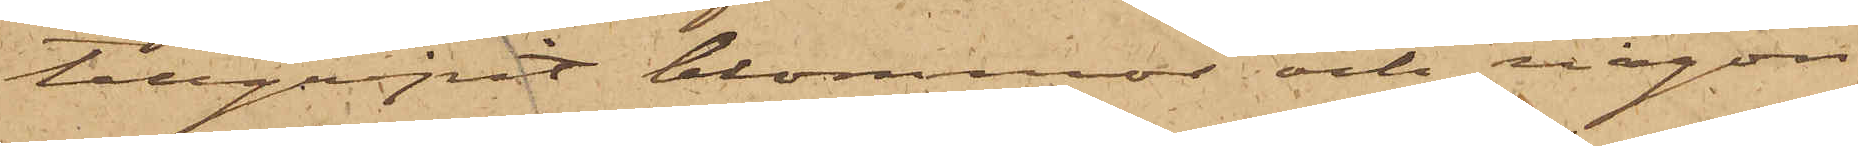tillgripit blommor; och någon
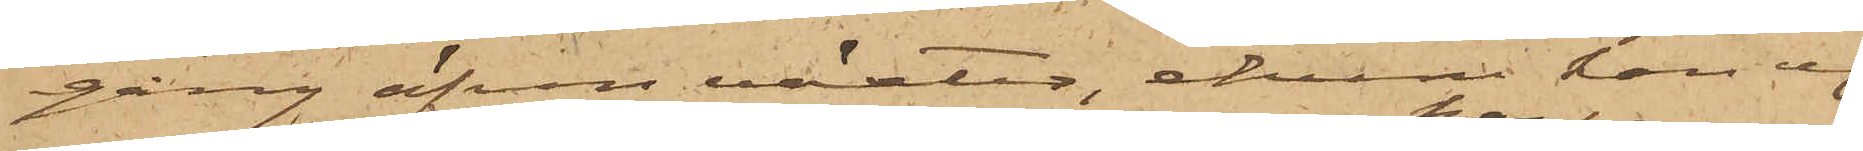gång äfven växter, ehuru han ej
